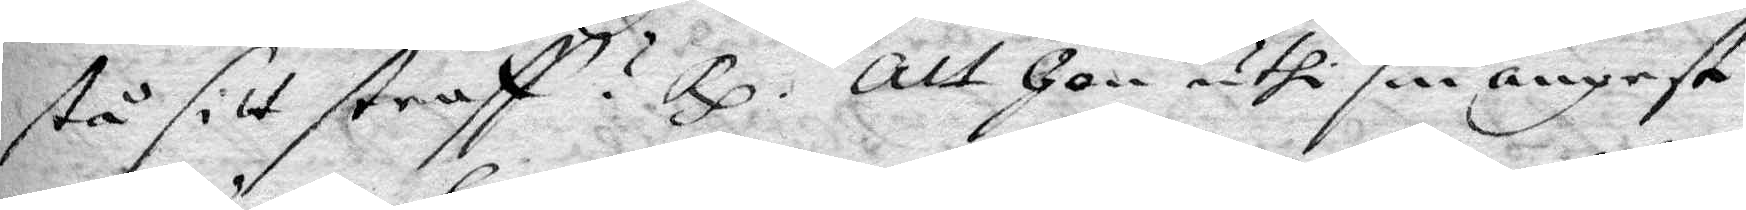stå sitt straff? Rp. Att hon uthi sin ångest
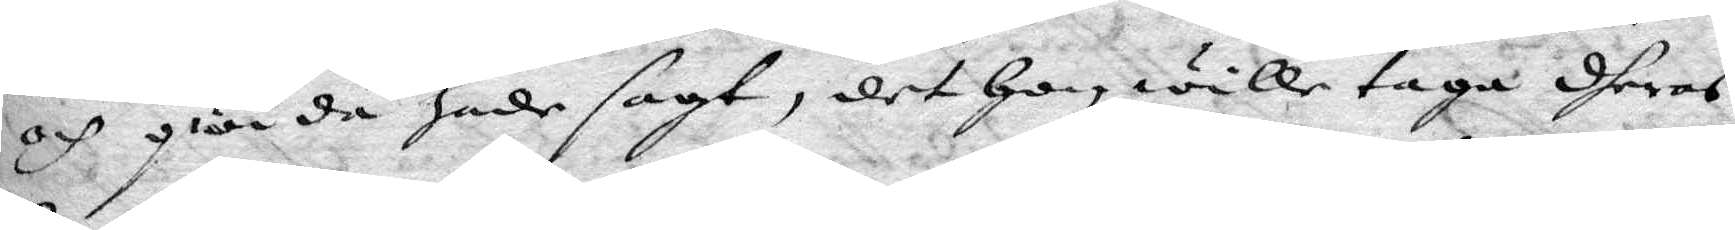och qwida hade sagt, det hon wille taga dheras
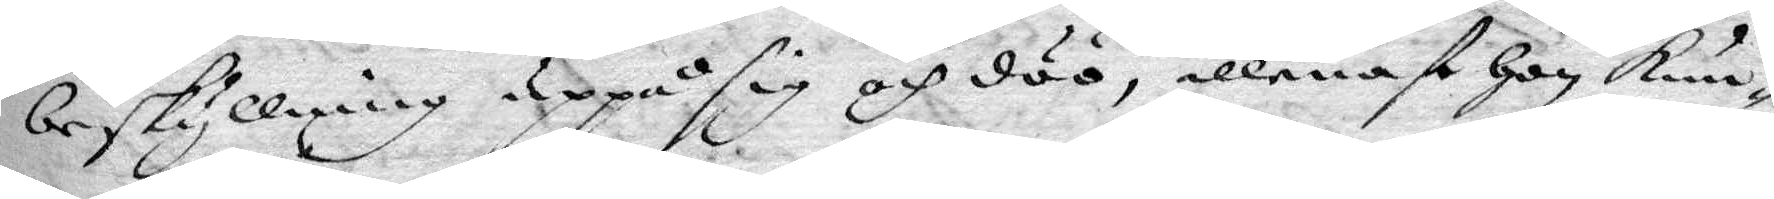beskyllning uppå sig och döö, allenast hon kun¬
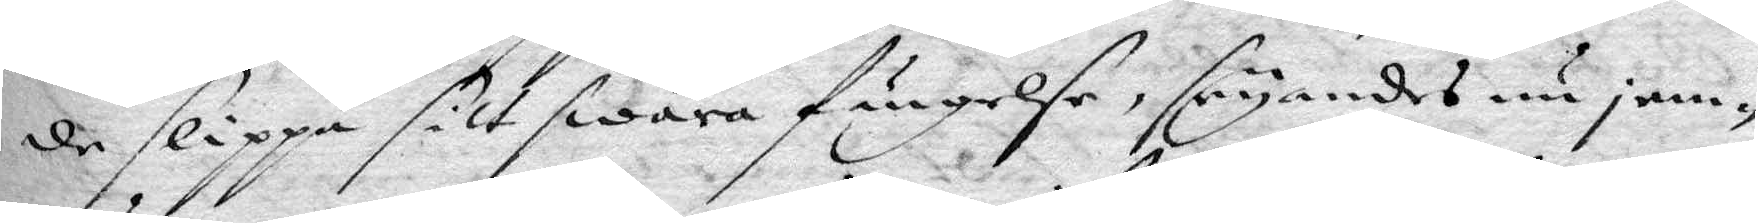de slippa sitt swåra fängelse, seyandes nu jem¬
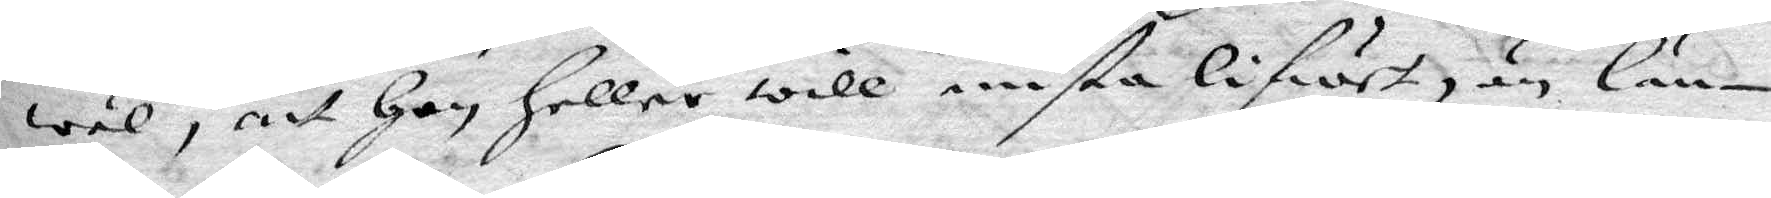wäl, att hon hellre wille mista lifwet, än län¬
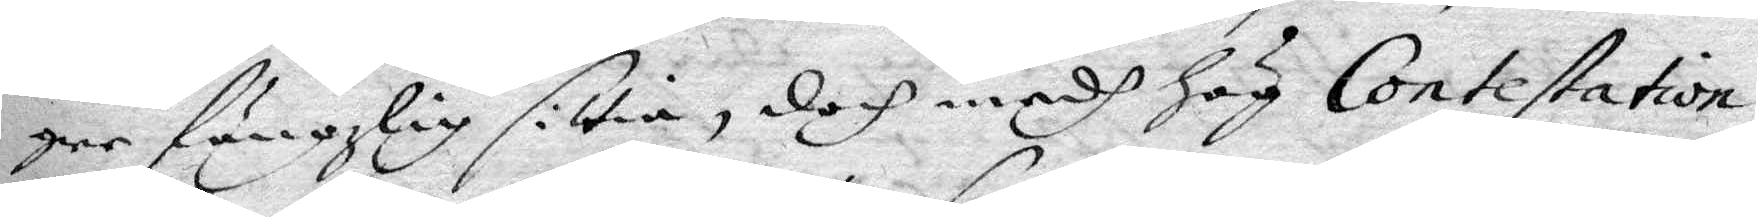gre fängzlig sittia, doch medh hög Contestation
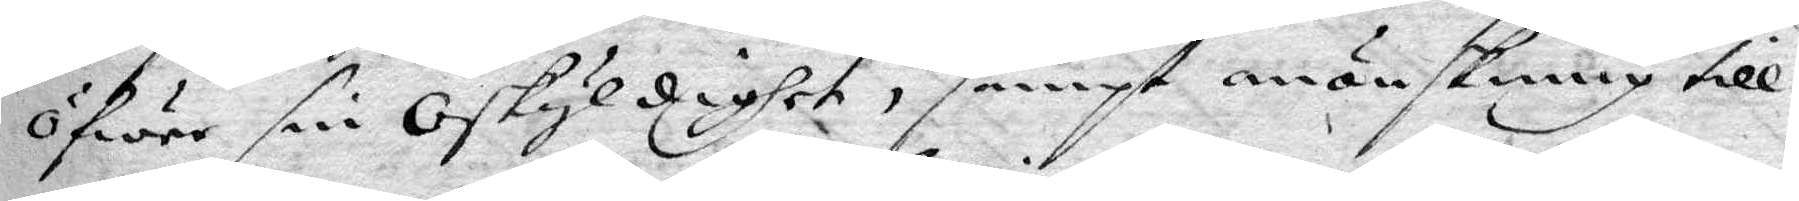öfwer sin Oskyldighet, sampt en önskining till
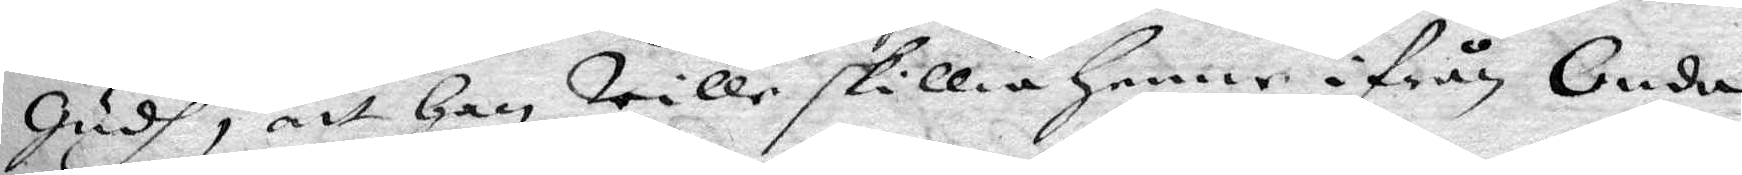Gudh, att han wille skillia henne ifrån Onda
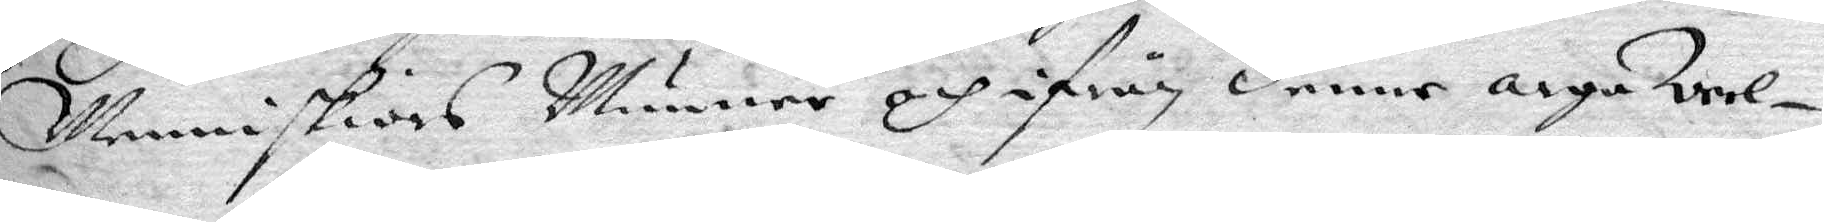Menniskiors Munner och ifrån denne arge Werl¬
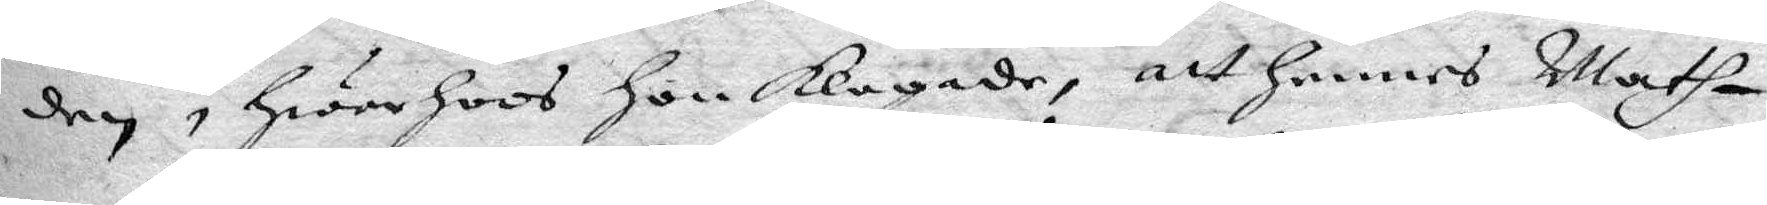den, hwar hoos hon klagade, att hennes Math¬
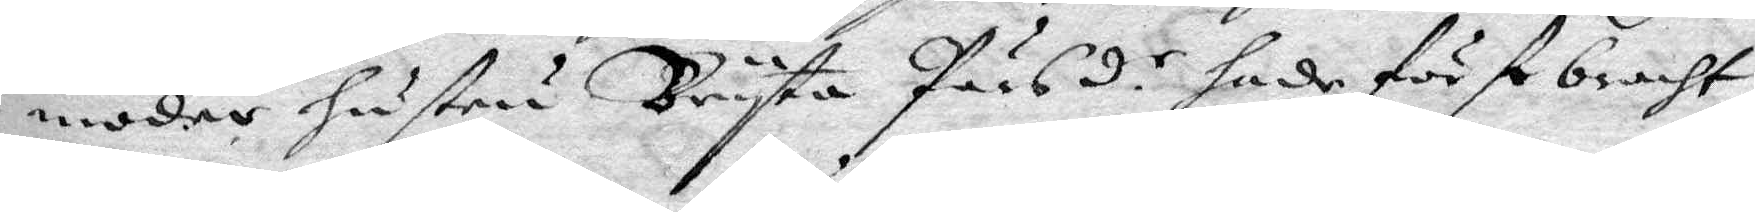moder hustru Bryta Pärsd.r hade först bracht
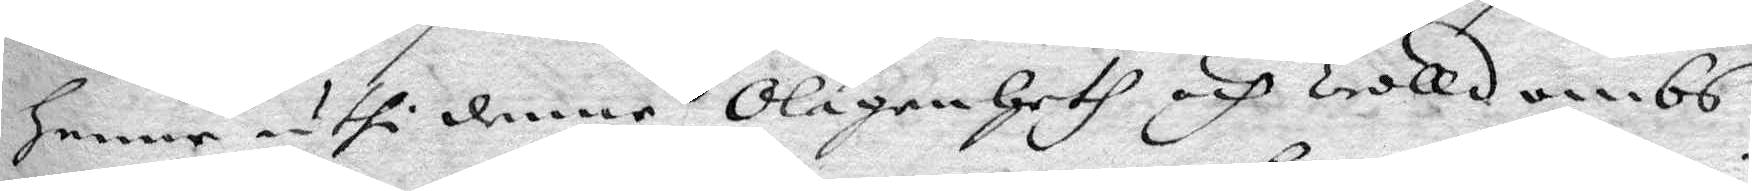henne uthi denne Olägenheth och Trolldombs
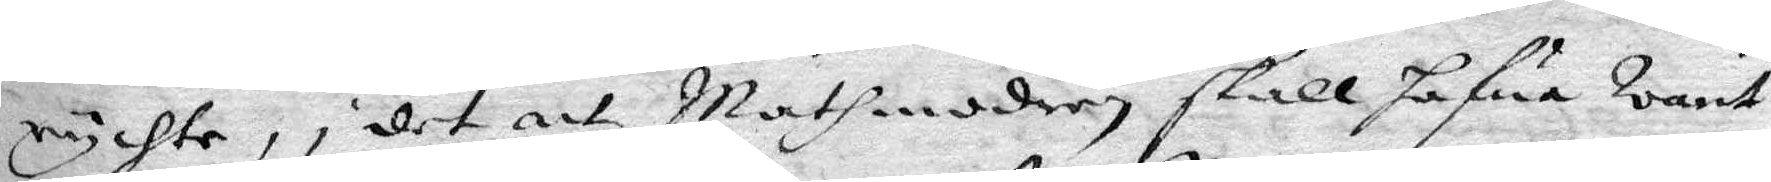rychte, i det att Mathmodren skall hafwa warit
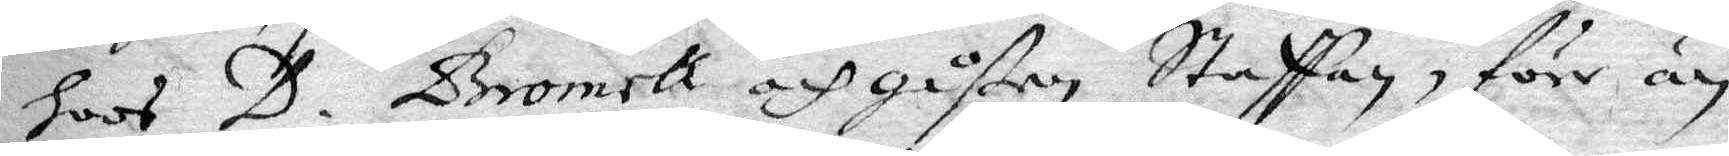hoos D. Bromell och gåßen Staffan, förr är
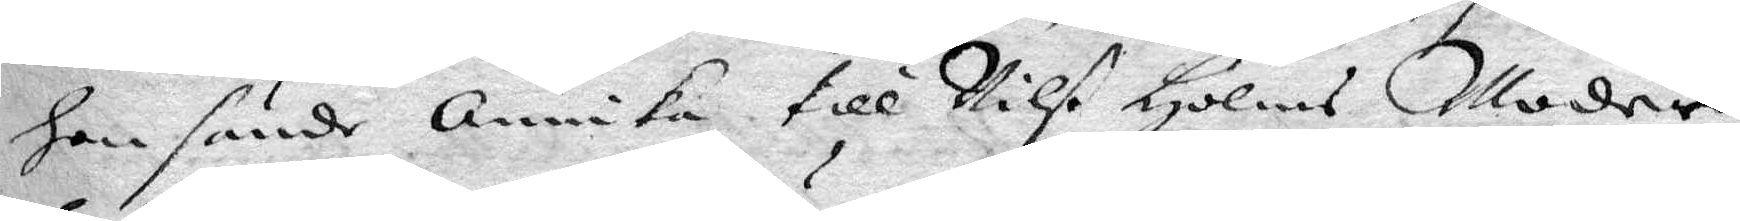hon sände Annika till Nilß Holms Moder
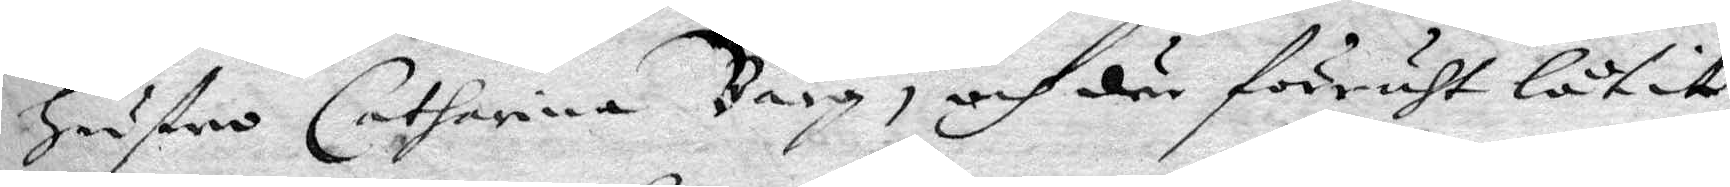hustru Catharina Bärg, och där förruth låtir
